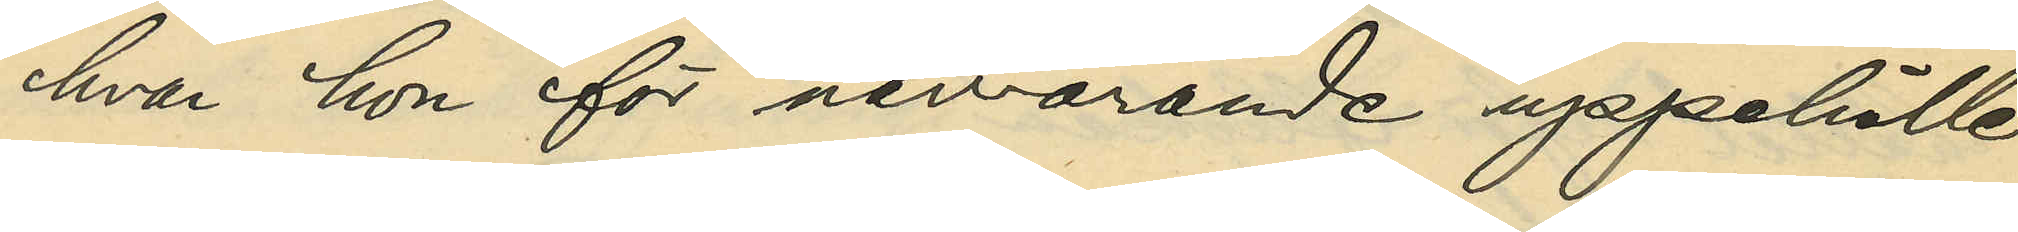hvar hon för närvarande uppehölle
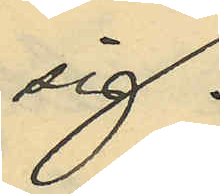sig.
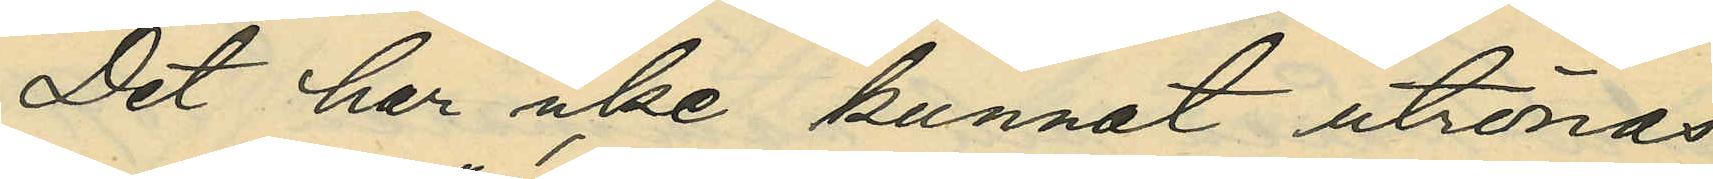Det har icke kunnat utrönas
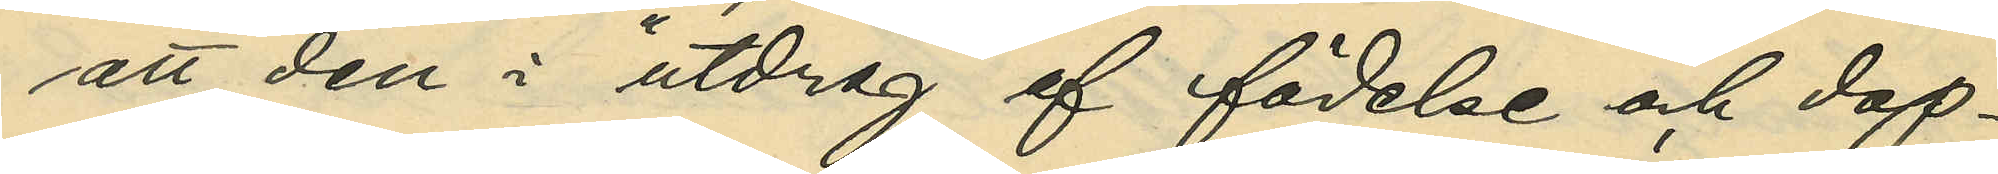att den i "utdrag af födelse och dop¬
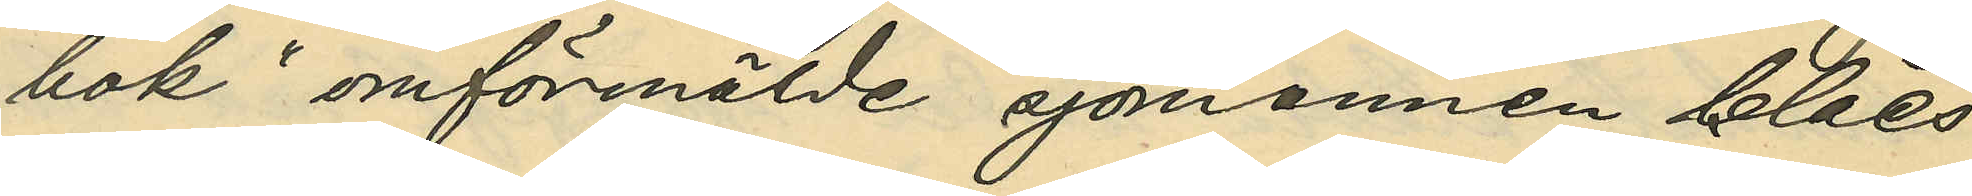bok" omförmälde sjömannen Claes¬
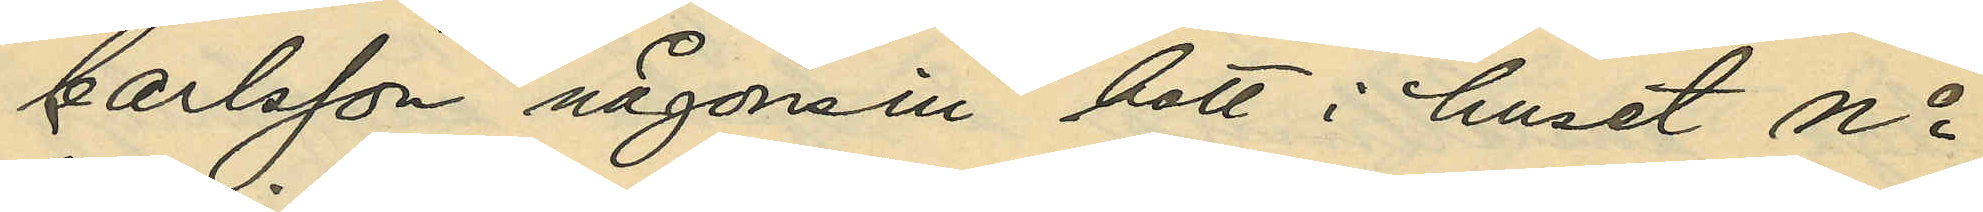Carlsson någonsin bott i huset No
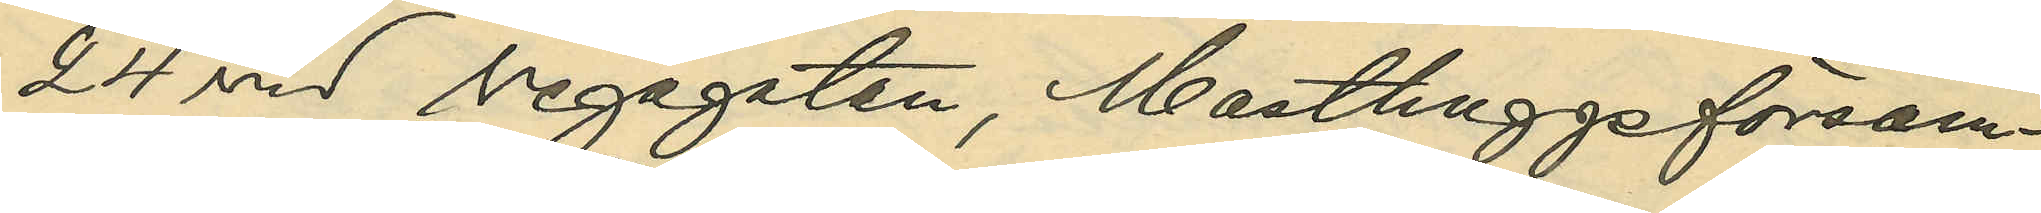24 vid Vegagatan, Masthuggsförsam¬
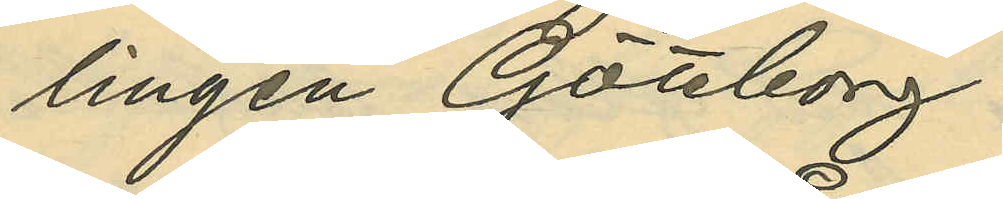lingen Göteborg.
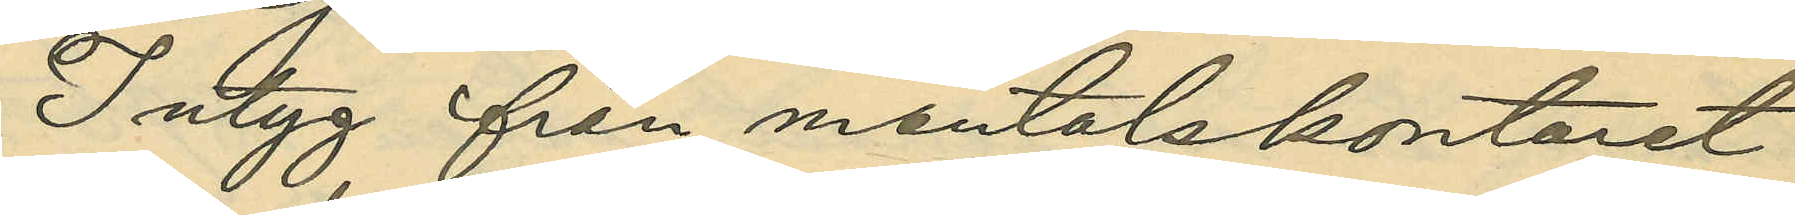Intyg från mantalskontoret
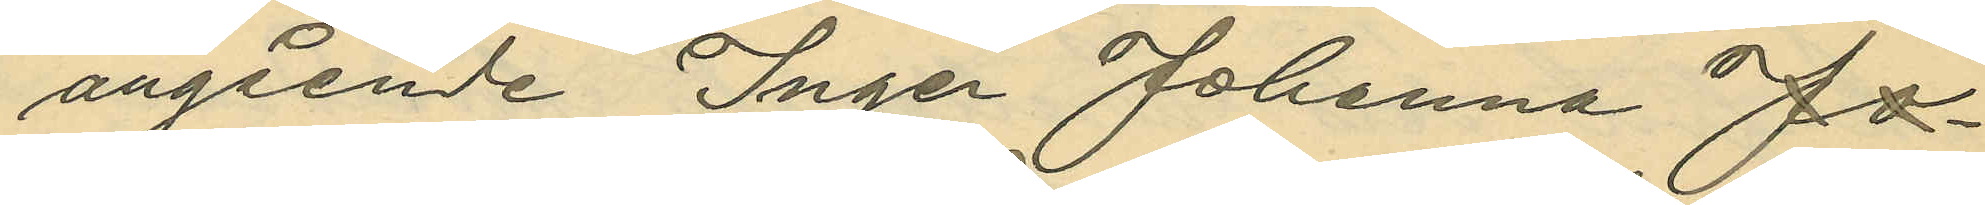angående Inger Johanna Jo¬
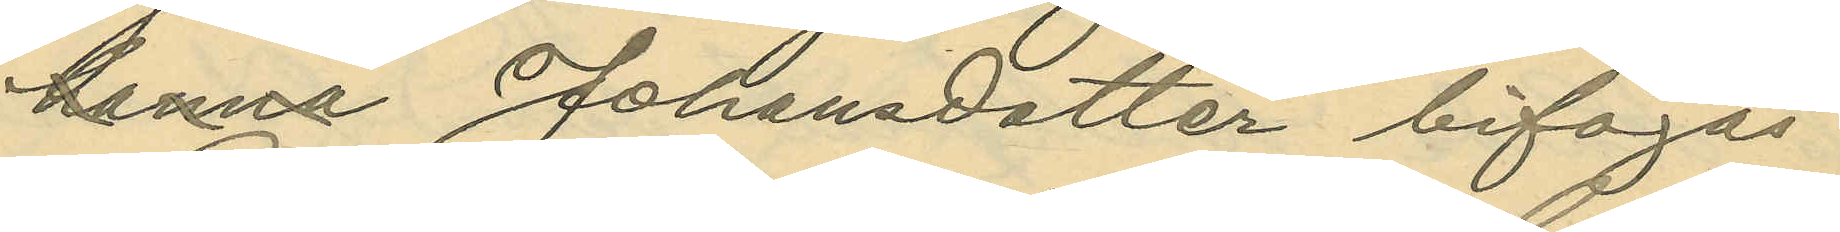hanna Johansdotter bifogas.
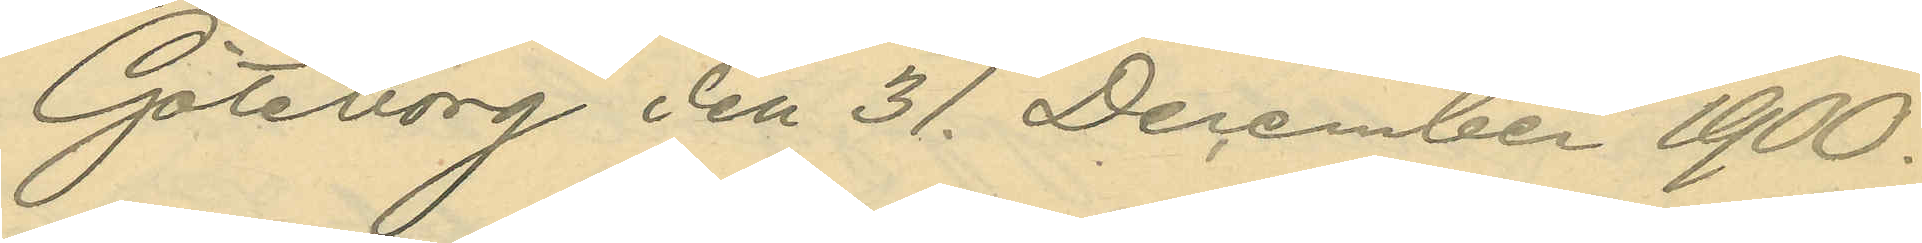Göteborg den 31. december 1900.
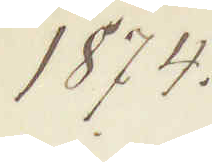1874
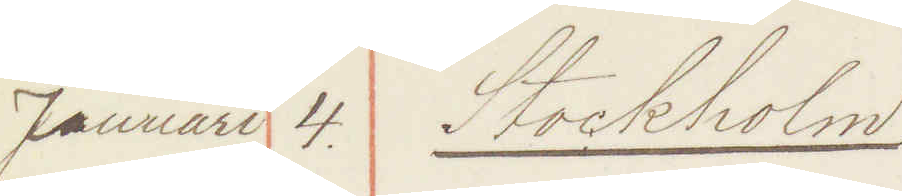Januari 4. Stockholm
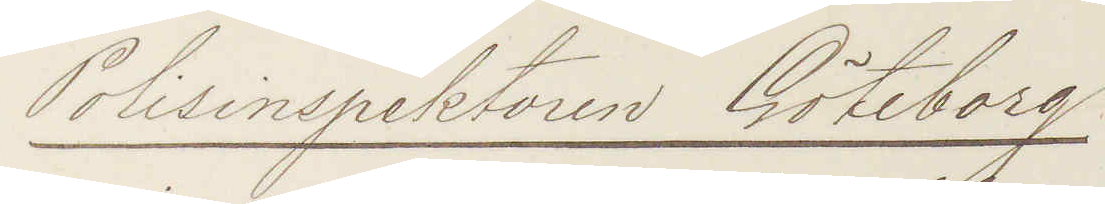Polisinspektorn Göteborg
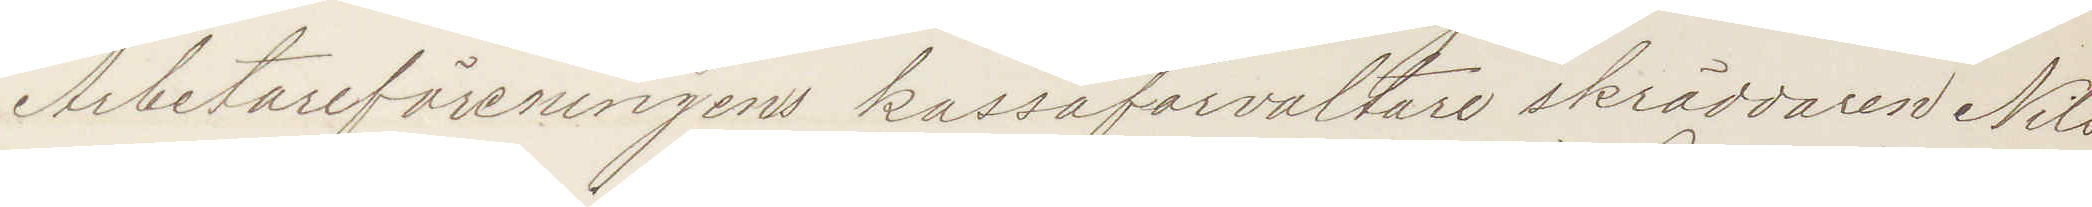Arbetareföreningens kassaförvaltare skräddaren Nils
